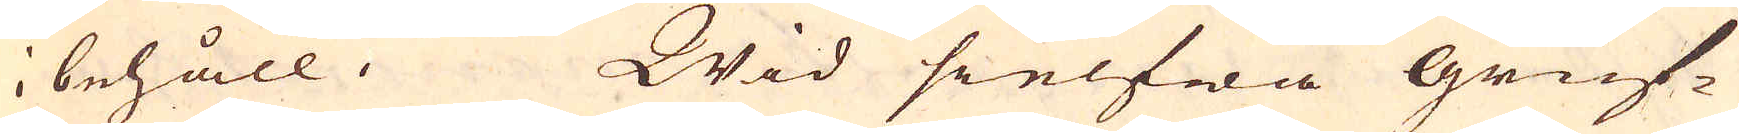i behåll. Wid sielfwa gruf-
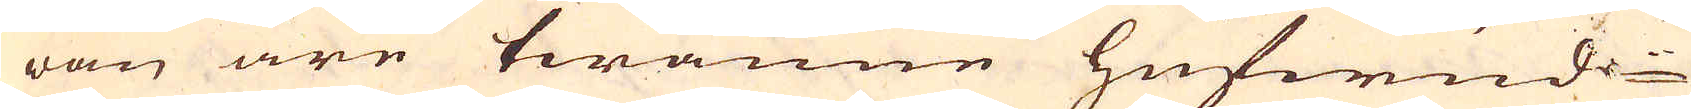wan äre twänne hufwud-
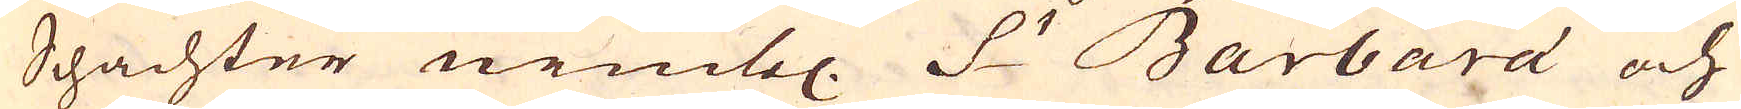Schachter nembl. S:t Barbara och
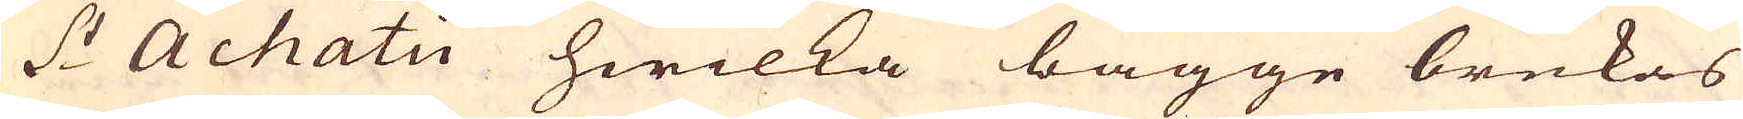S:t Achati hwilka bägge brukas
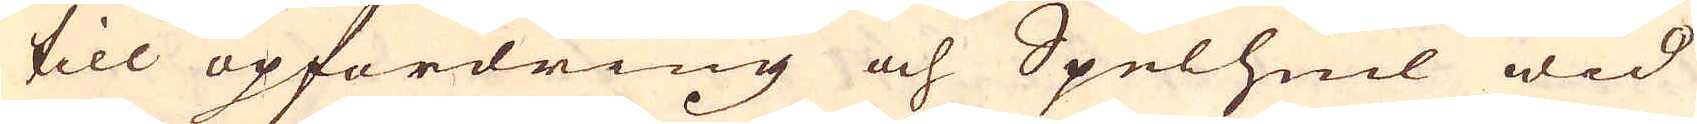till opfordring och Spelhiul wid
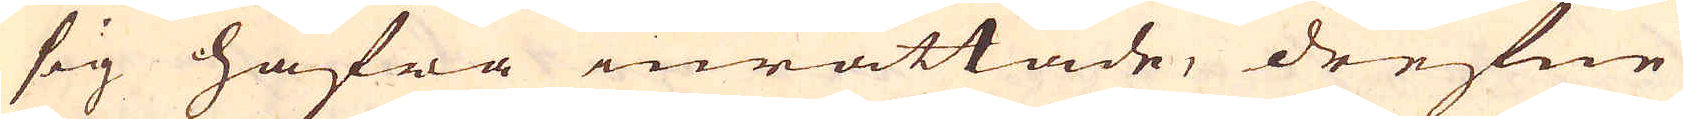sig hafwa inrättade, drefne
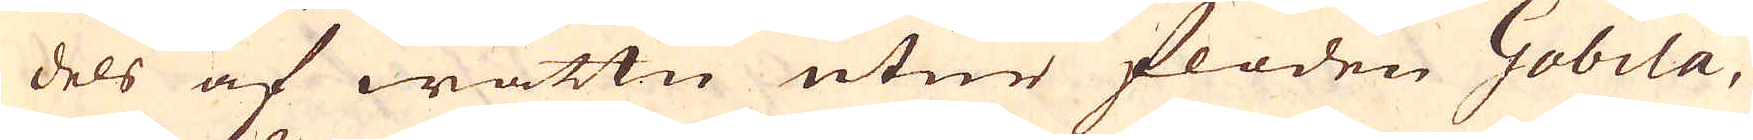dels af wattn utur floden Gobila,
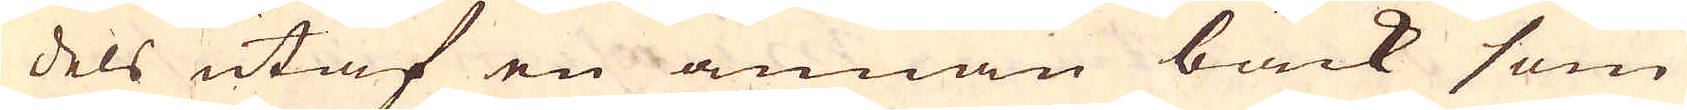dels utaf en annan bäck som
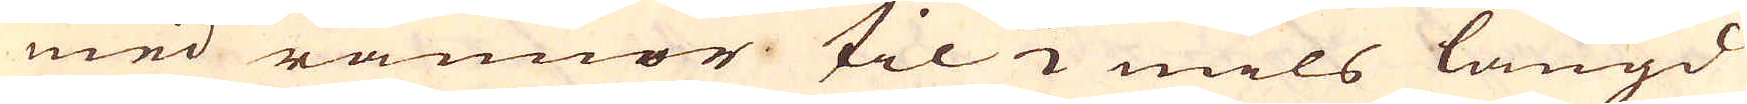med rännor til 1/2 mils längd
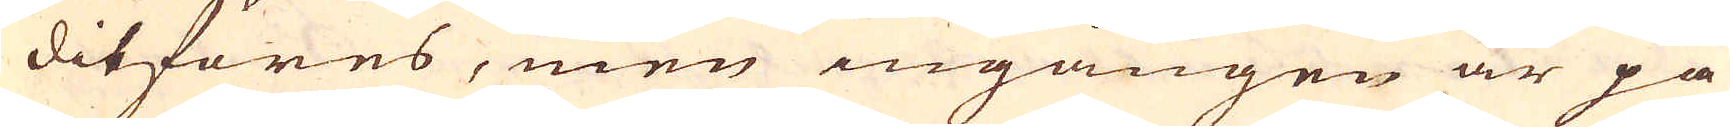ditföres, men ingången är på
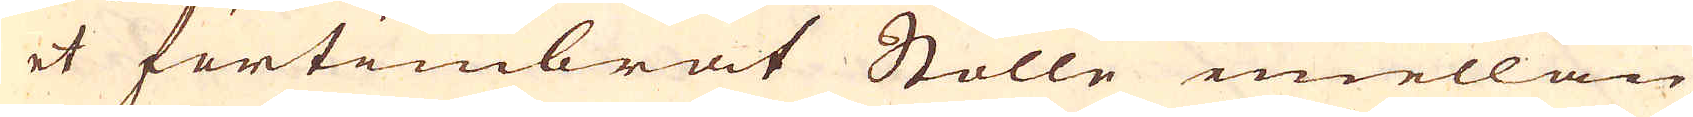et förtimbrat Stolle emellan
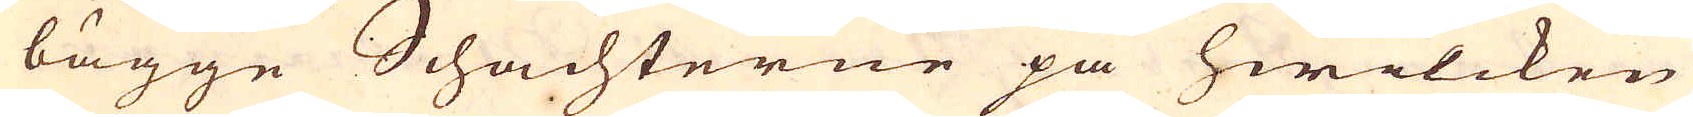bägge Schachterne på hwilcken
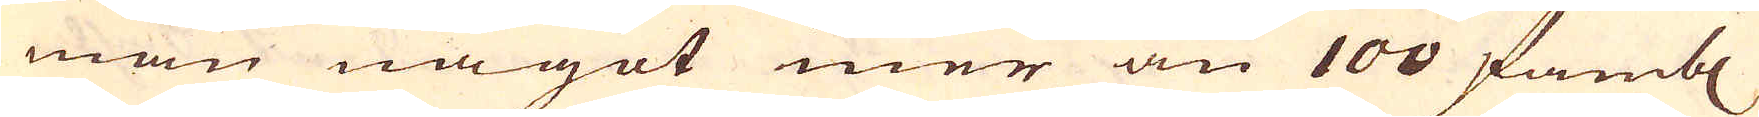man något mer än 100 famb:r
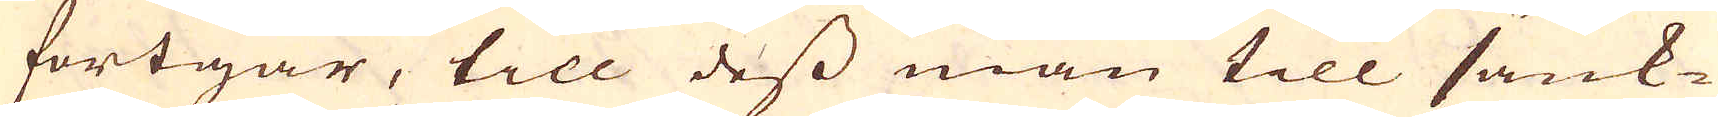fortgår, till dess man till sänk-
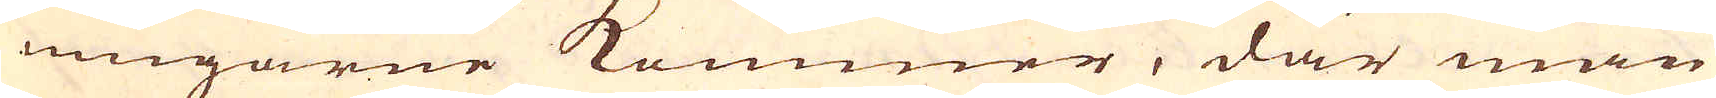ningarne kommer, där man
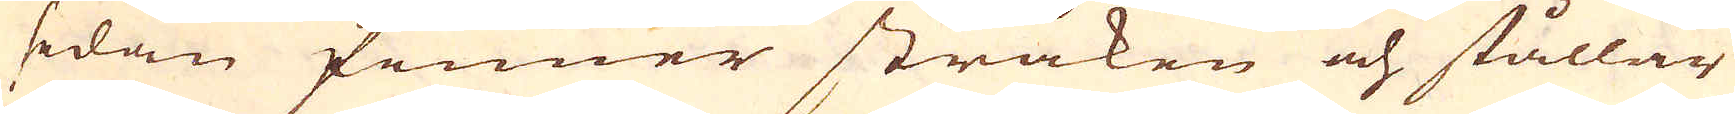sedan finner stråken och stållar
